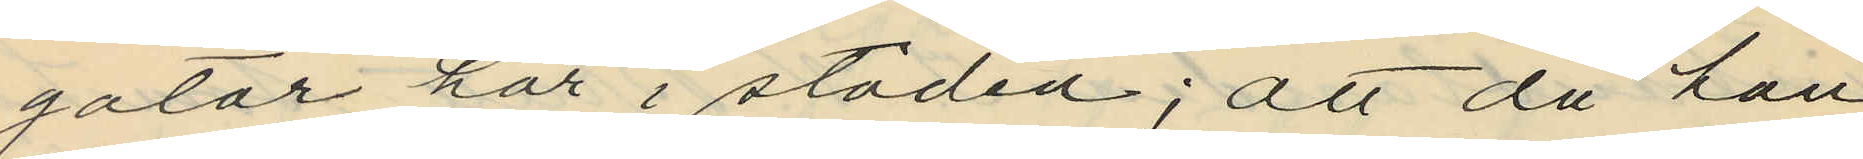gatar här i staden; att då han
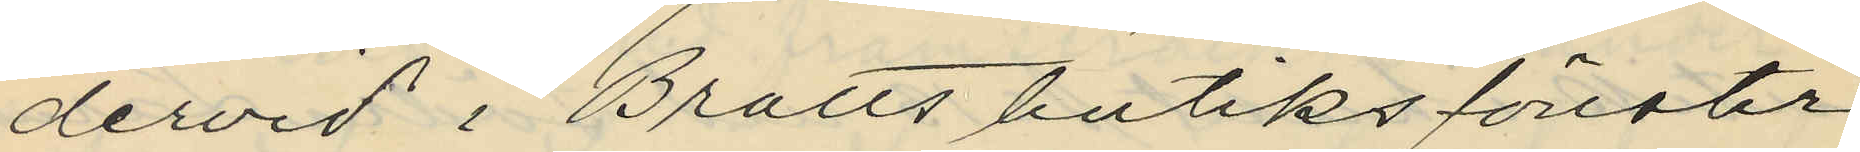dervid i Bratts butiksfönster
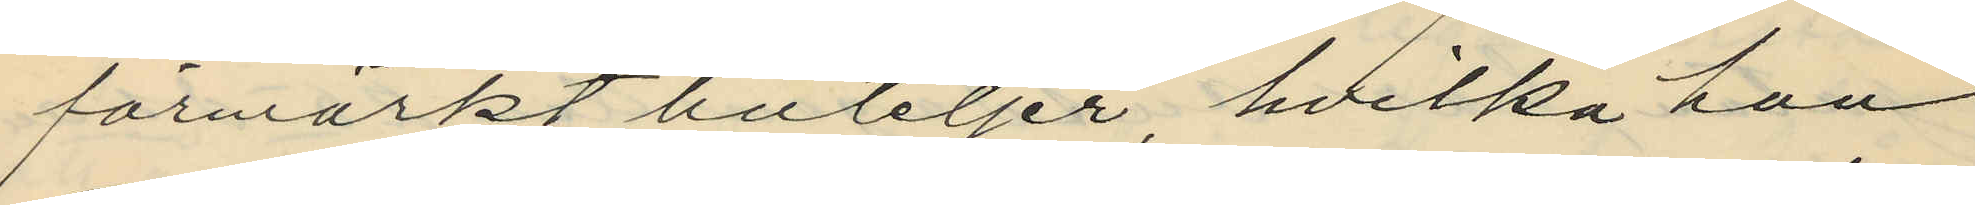förmärkt buteljer hvilka han
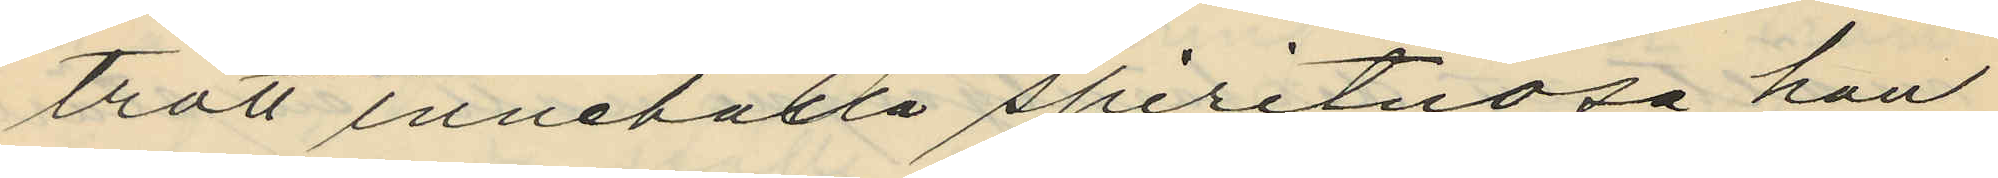trott innehålla spirituosa, han
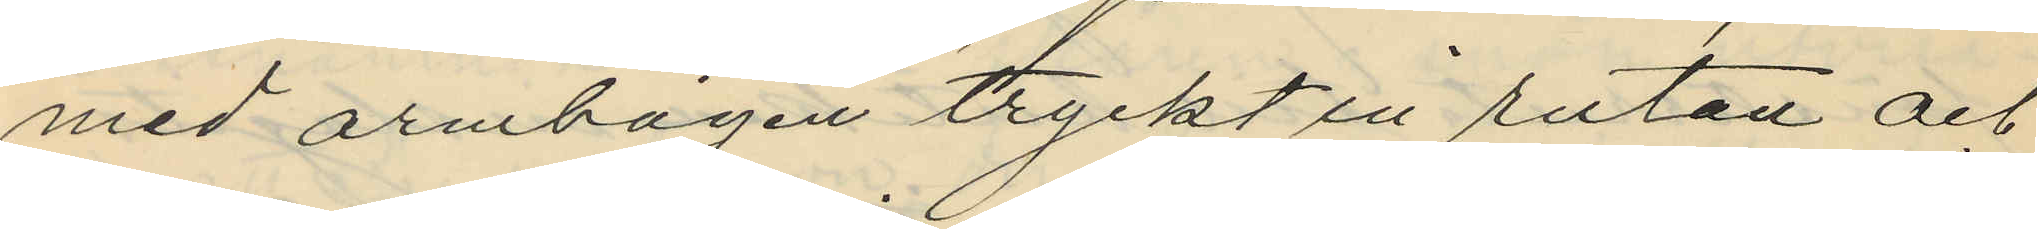med armbågen tryckt in rutan och
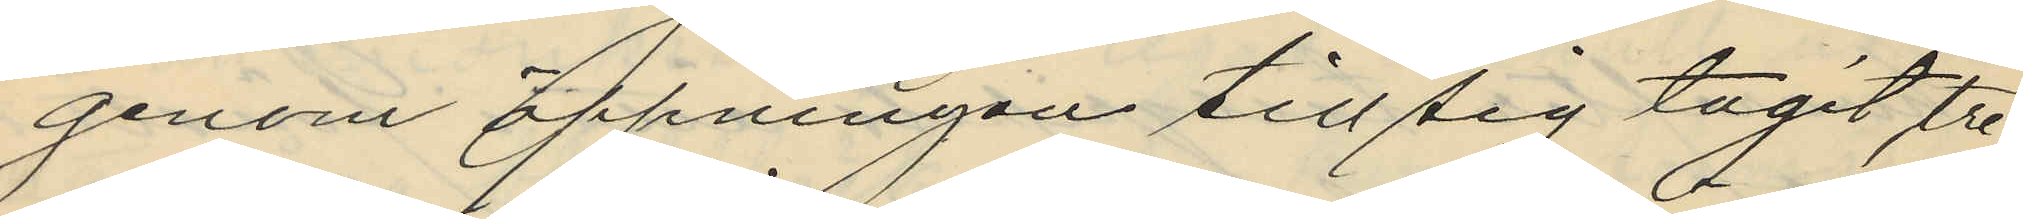genom öppningen till sig tagit tre
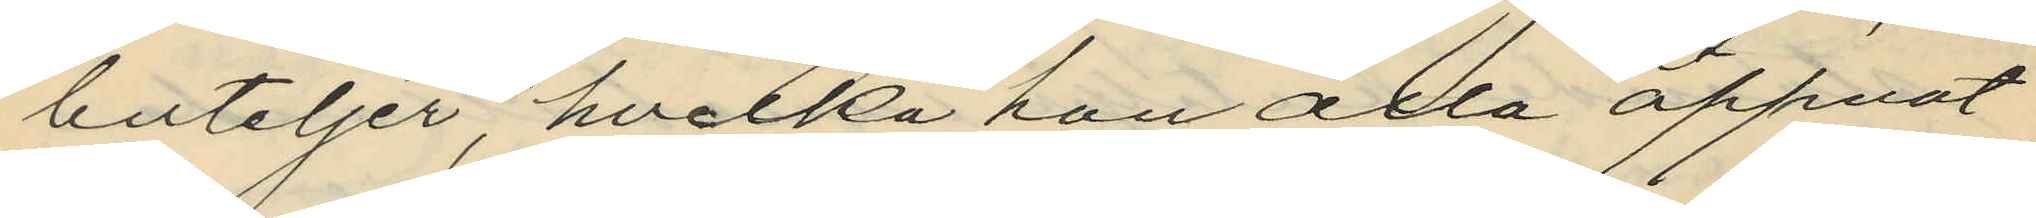buteljer, hvilka han alla öppnat
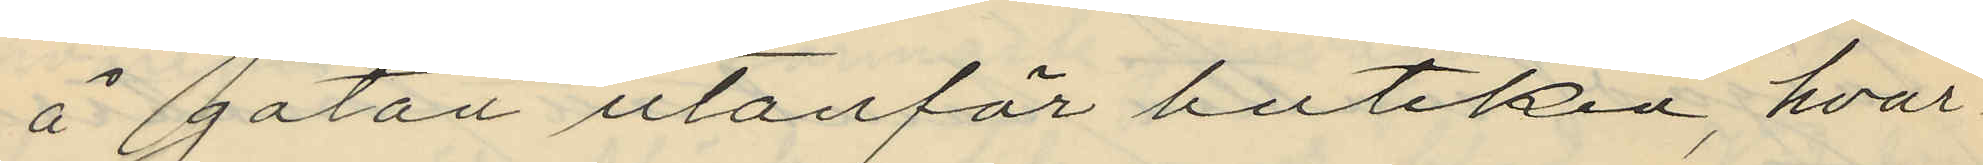å gatan utanför butiken, hvar¬
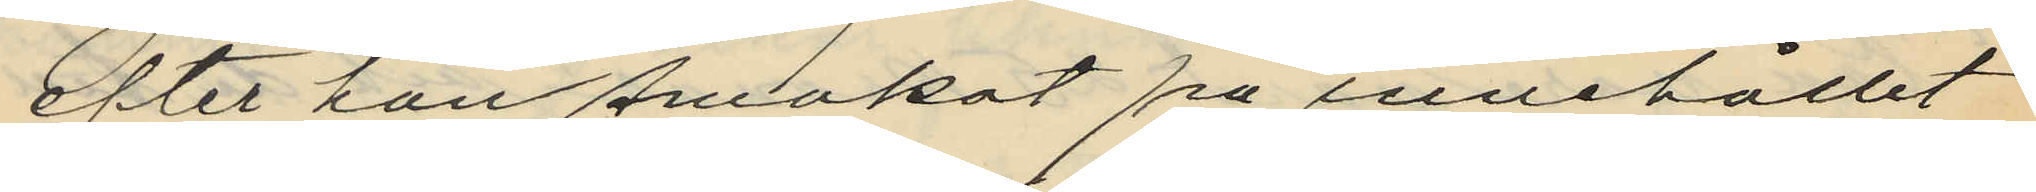efter han smakat på innehållit
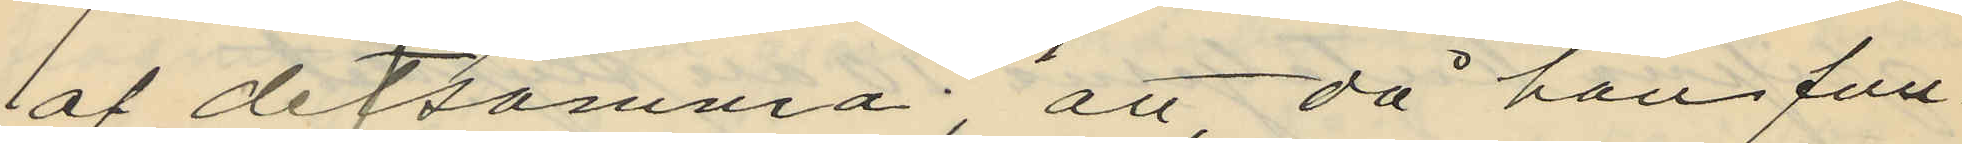af detsamma; att, då han fun¬
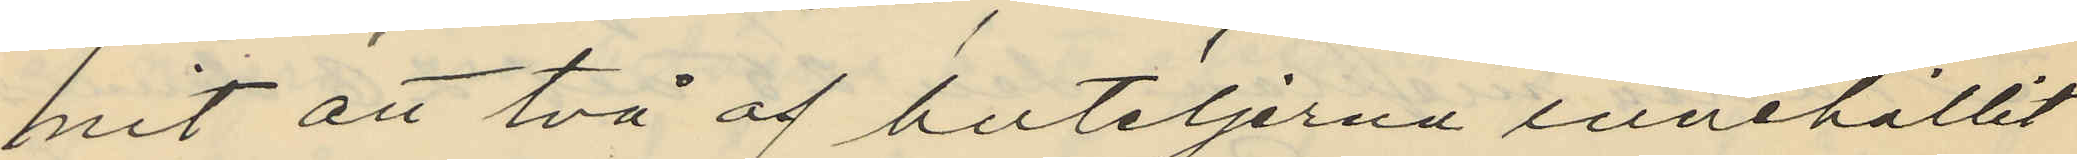mit att två af buteljerna innehållit
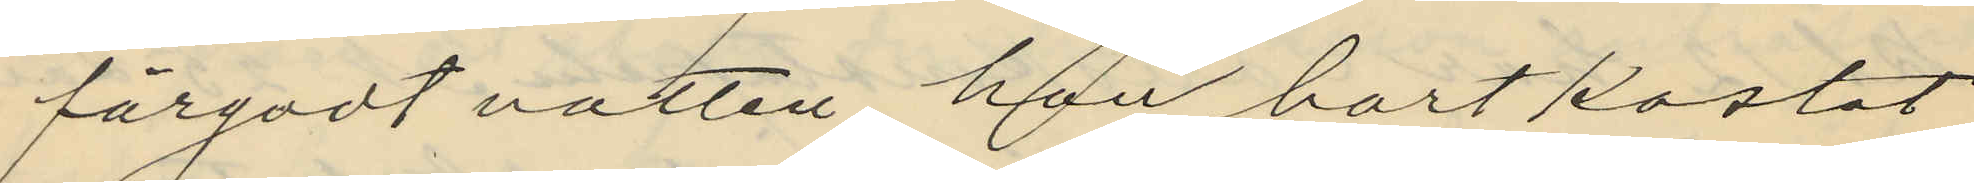färgadt vatten, han bortkastat
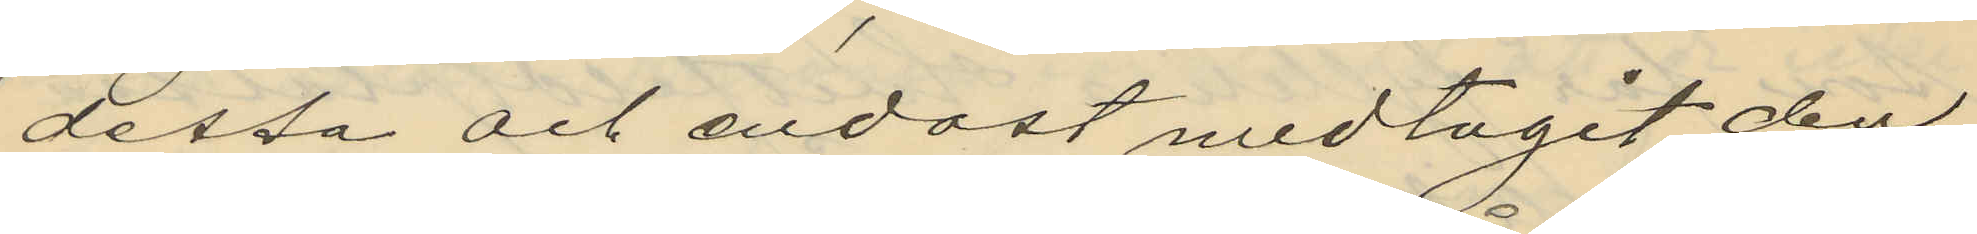dessa och endast medtagit den
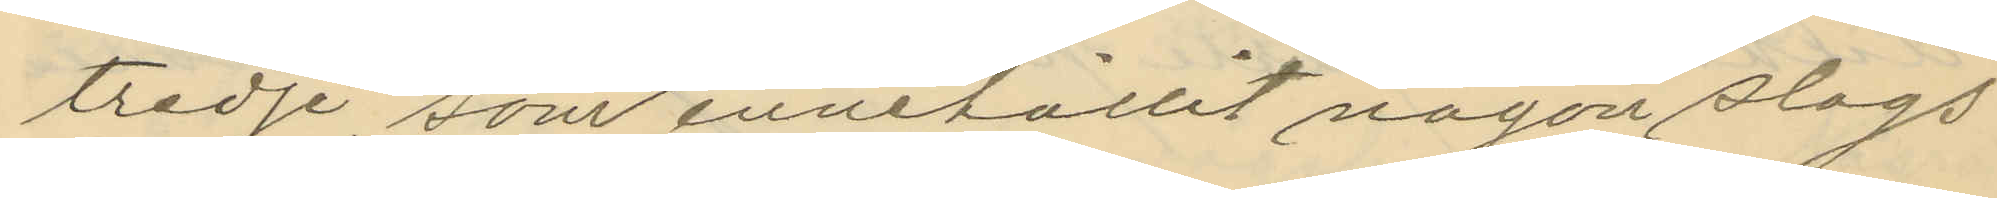tredje, som innehållit någon slags
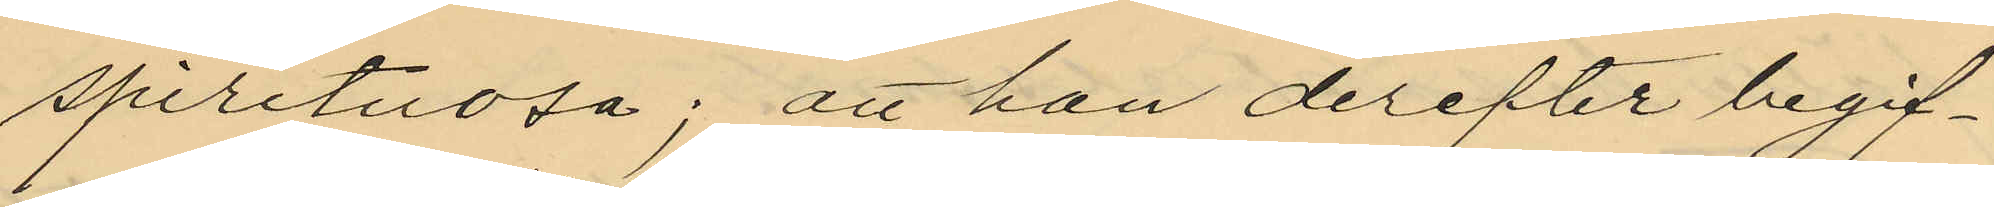spirituosa; att han derefter begif¬
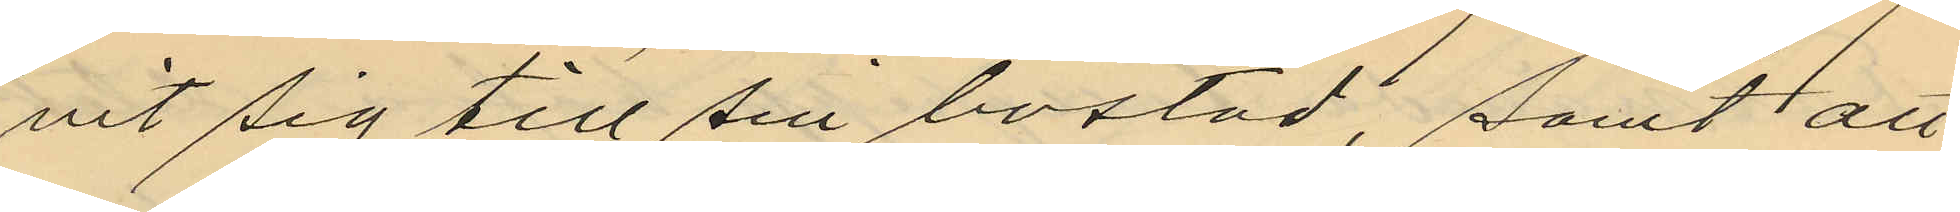vit sig till sin bostad, samt att
